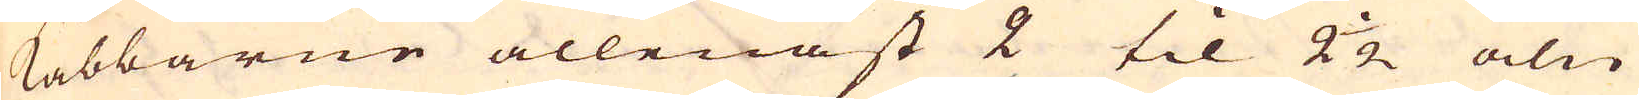Kabbarne allenast 2 til 2 1/2 aln
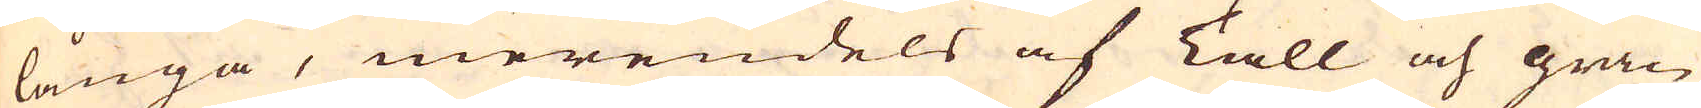långa, merendels af Tall och gran
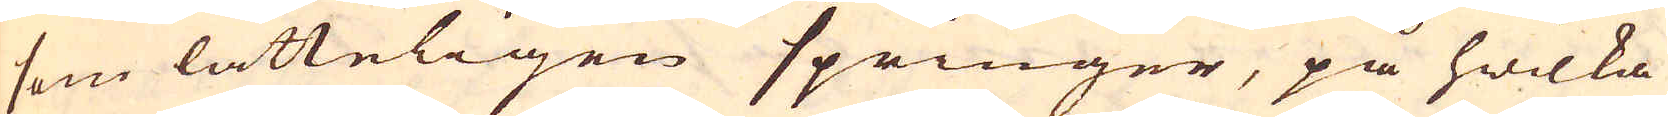som lätteligen springer, på hwilka
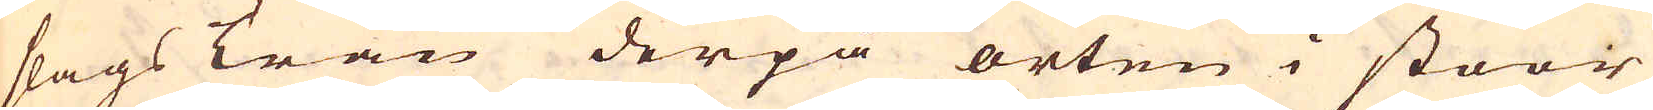slags Trän derpå orten i stoor
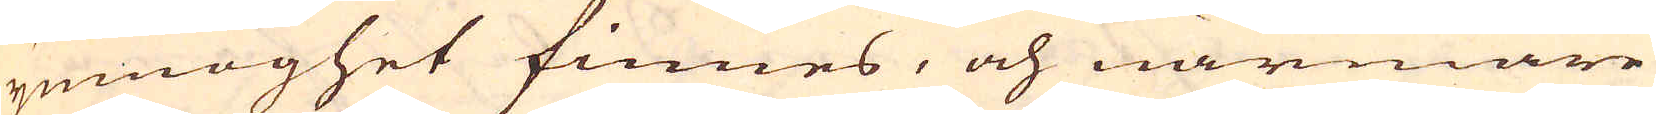ymnoghet finnes, och närmare
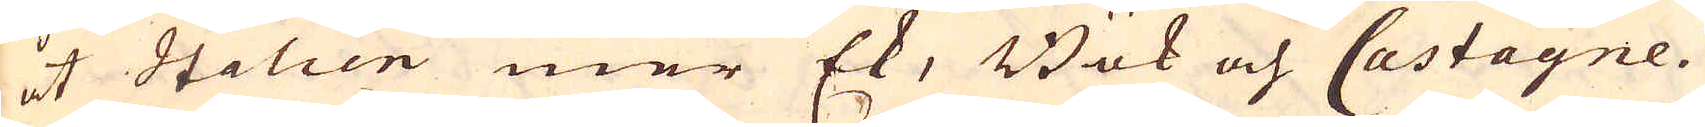åt Italien mer Ek, Bök och Castagne.
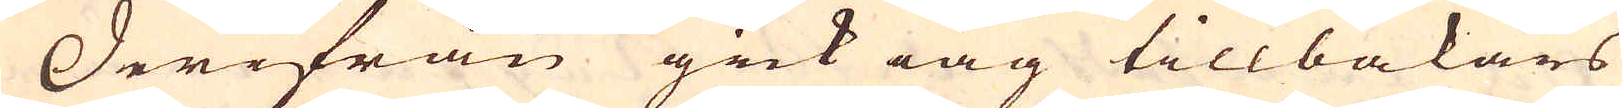Derifrån gick iag tillbakars
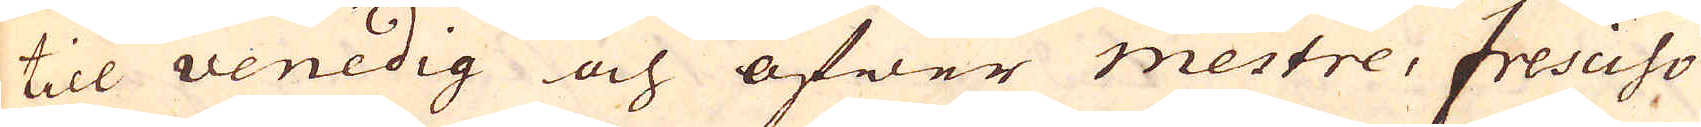till Venedig och öfwer Mestre, Fresciso
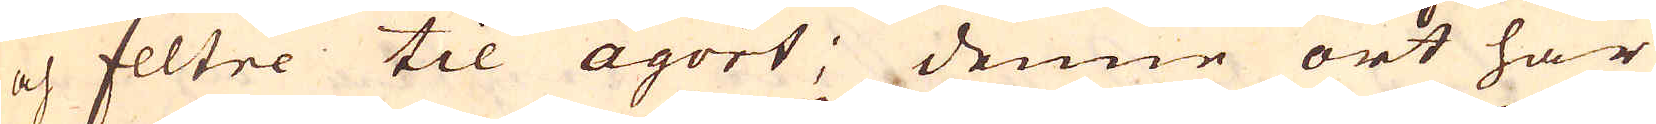och Feltre til Agort; denne ort har
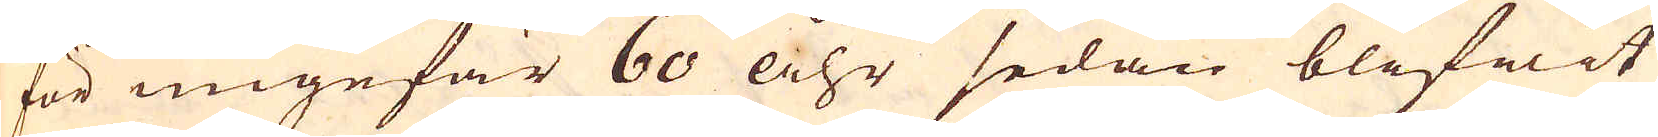för ungefär 60 åhr sedan blifwit
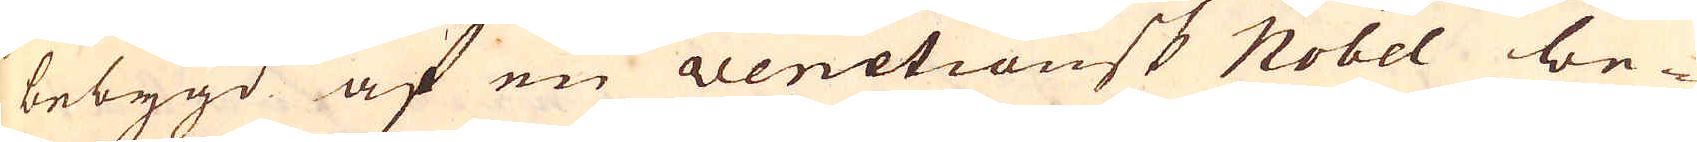bebygd af en Venetiansk Nobel be-
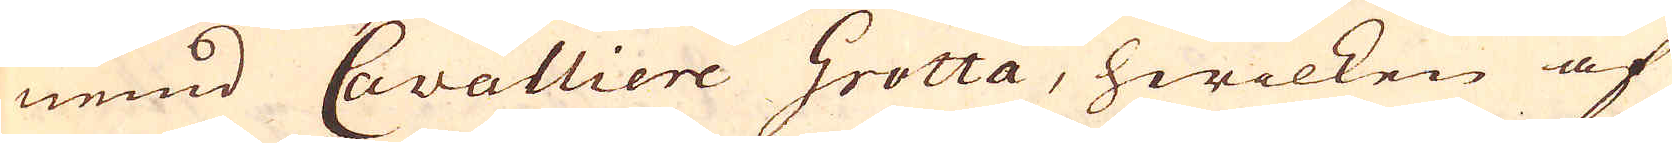nemd Cavalliere Grotta, hwilken af
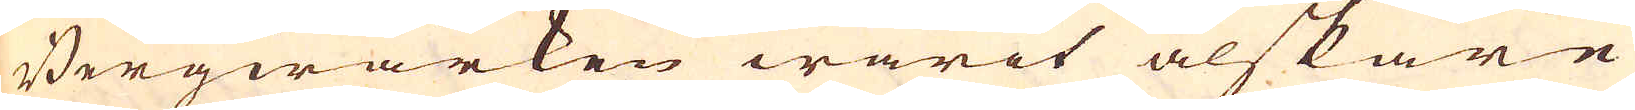Bergwärken warit älskare
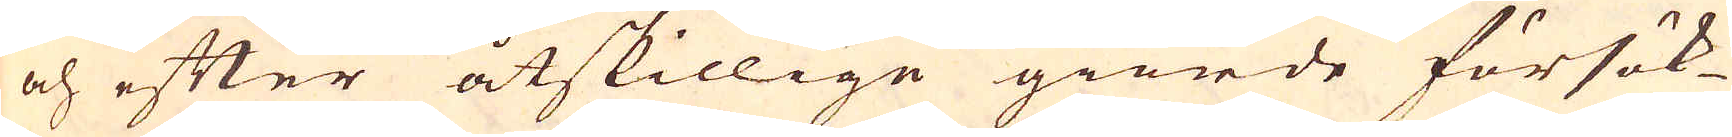och efter åtskillige giorde försök-
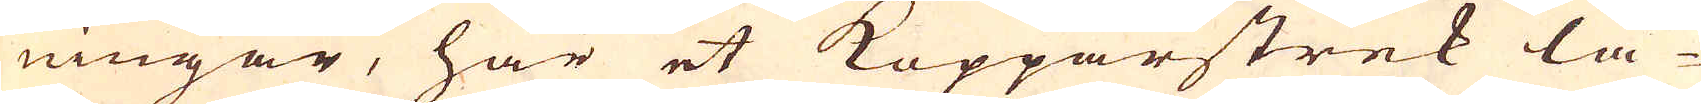ningar, här et Kopparstrek lå-
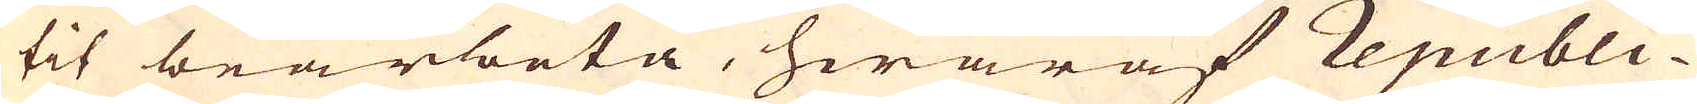tit bearbeta, hwaraf Republi-
